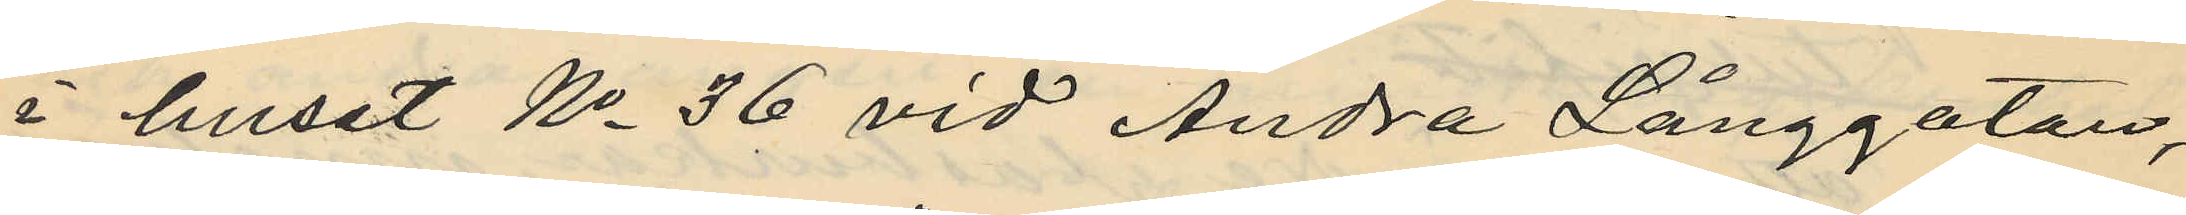i huset No 36 vid Andra Långgatan,
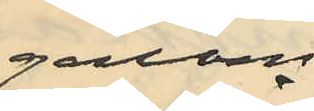genom
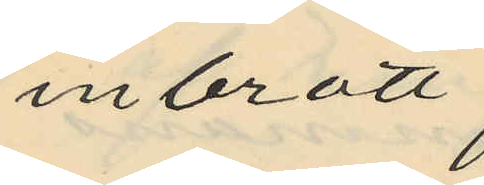inbrott
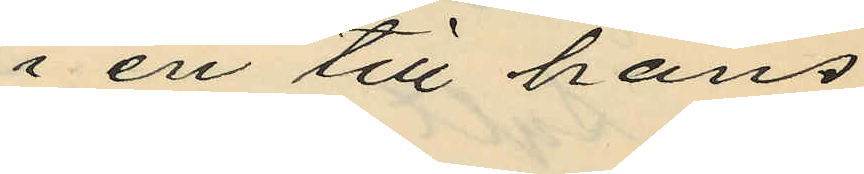i en till hans
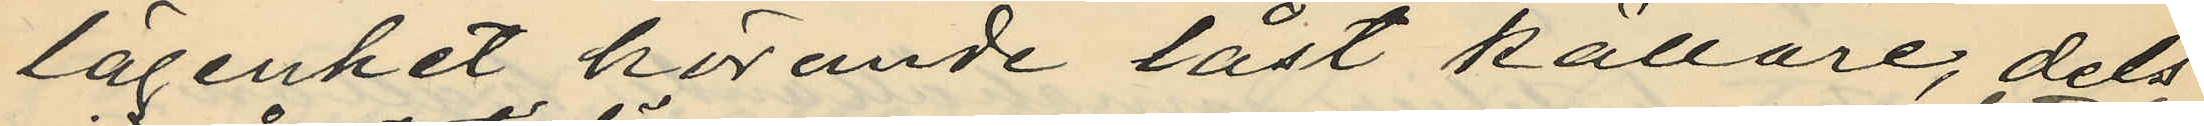lägenhet hörande låst källare, dels
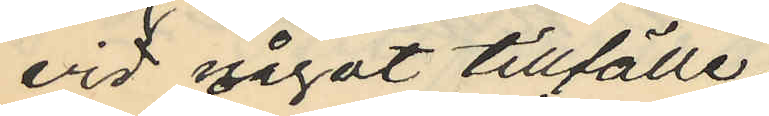vid något tillfälle
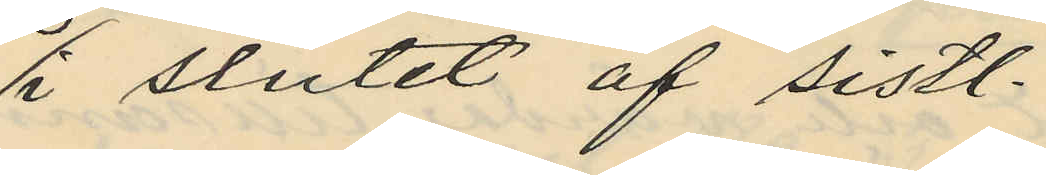i slutet af sistl.
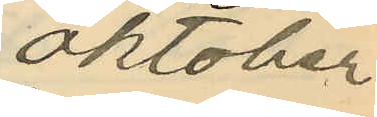oktober
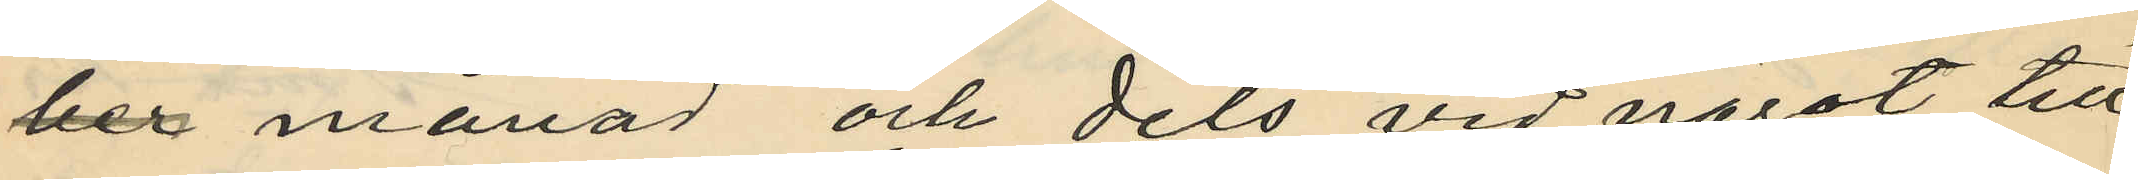ber månad och dels vid något till¬
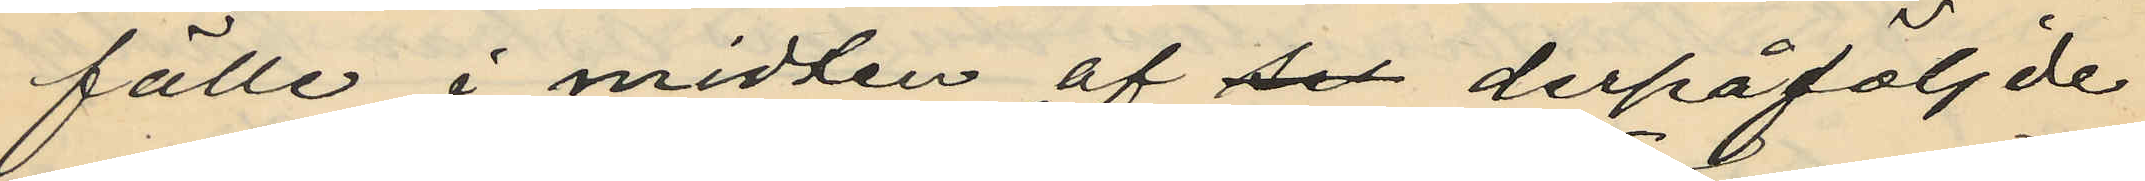fälle i midten af sex derpåföljde
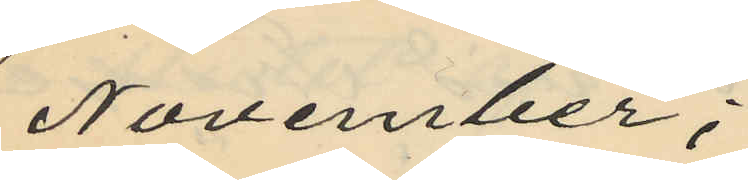November;
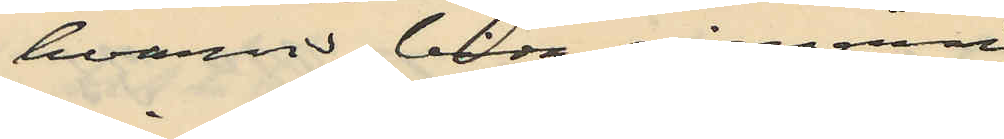hvarvid båda gångerna
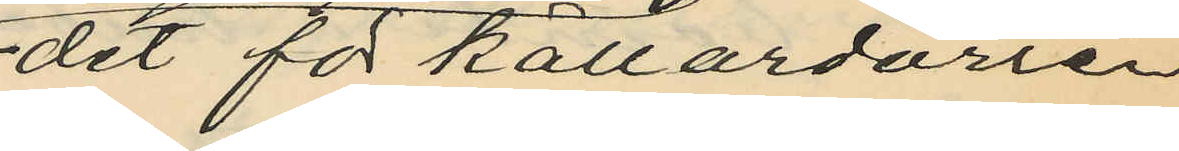det för källardörren
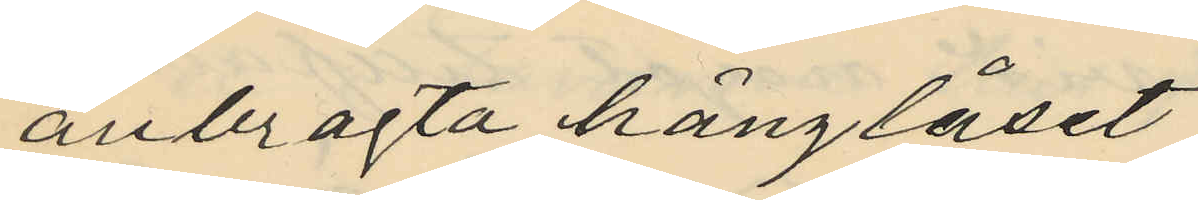anbragta hänglåset
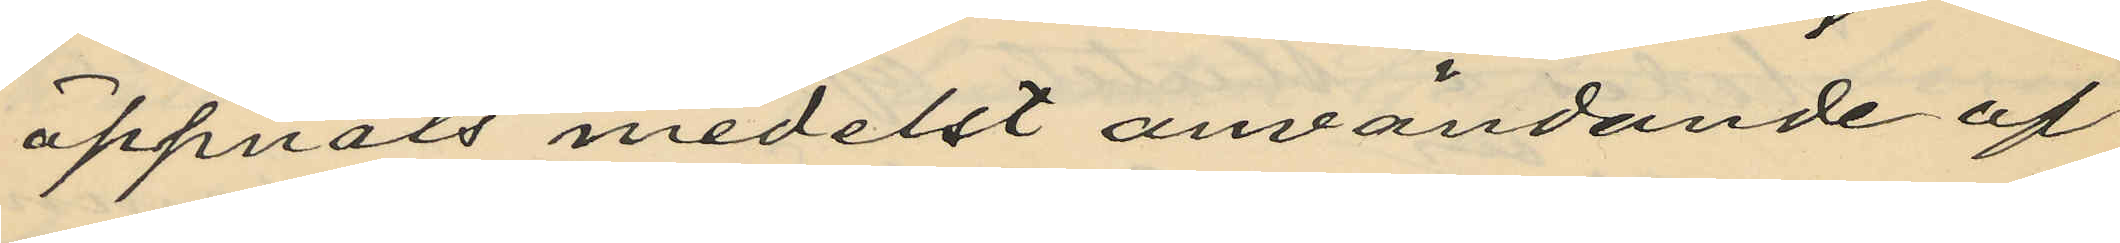öppnats medelst användande af
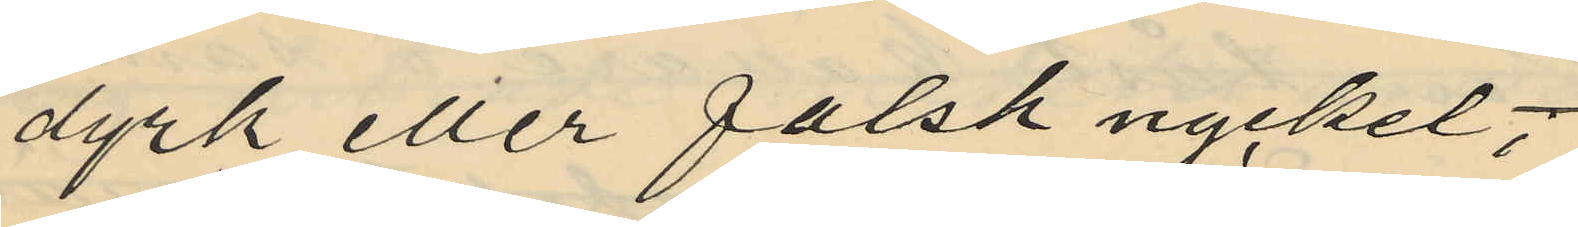dyrk eller falsk nyckel;
